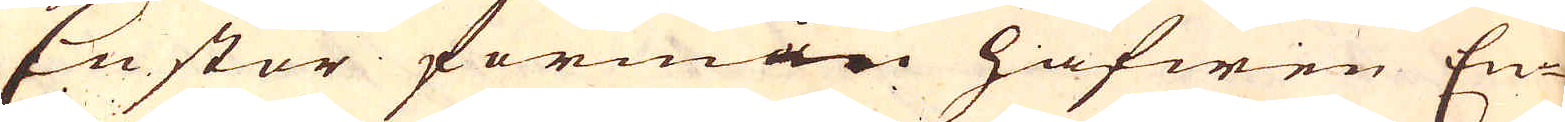En stor formån hafwen En-
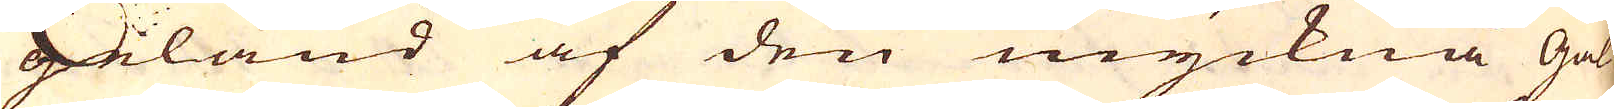geland af den myckna Gal-
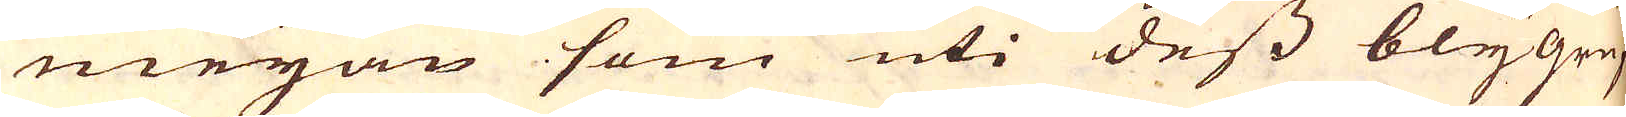meijan som uti dess bly gruf-
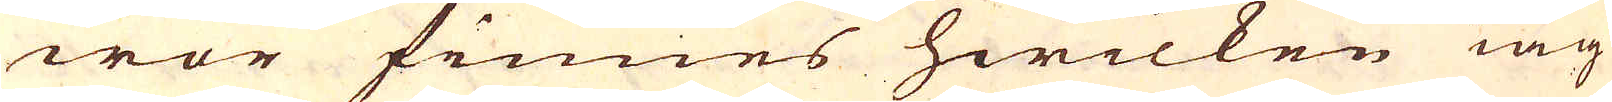wor finnes hwilken iag
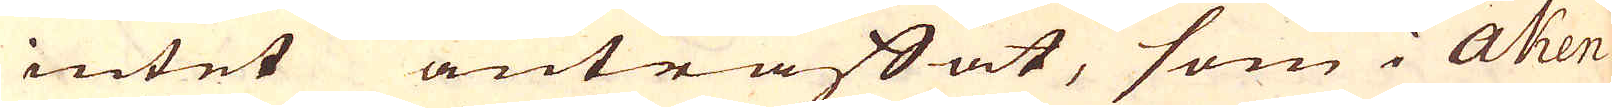intet anträffat, som i Aken
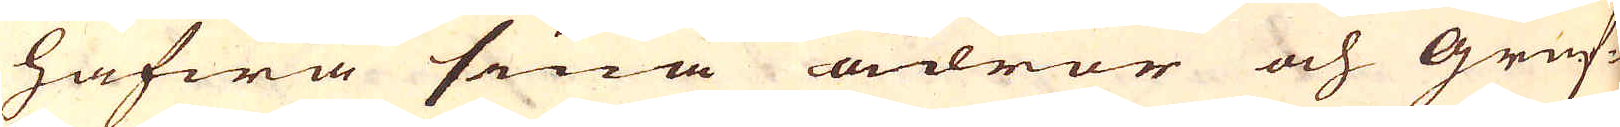hafwa sina ådror och gruf-
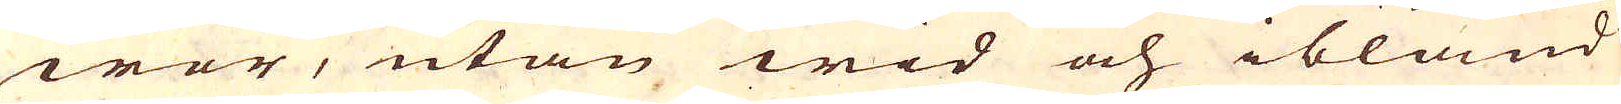wor, utan wid och ibland
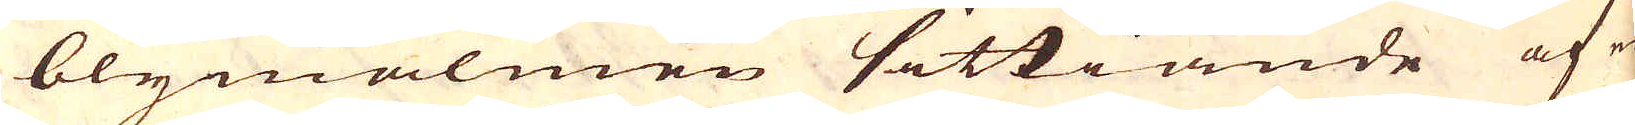blymalmen sittiande af en
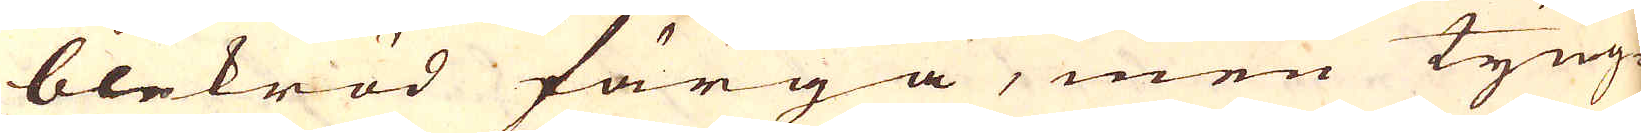blekröd färga, men tyng-
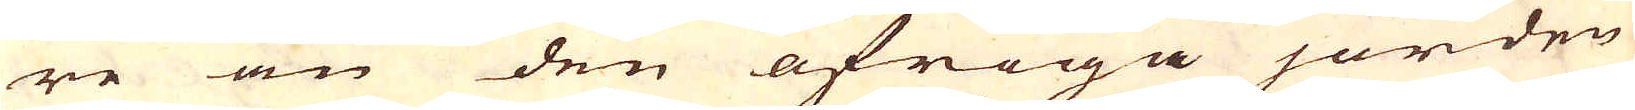re än den öfriga jorden,
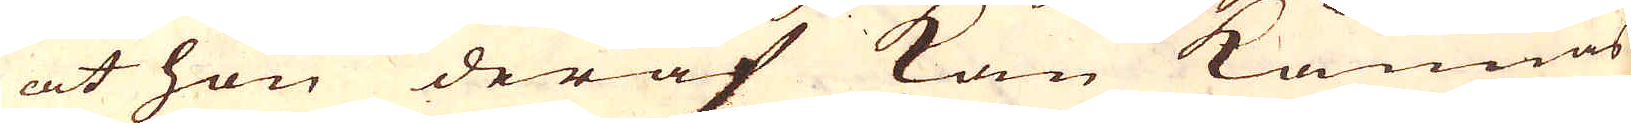at hon deraf kan kännas
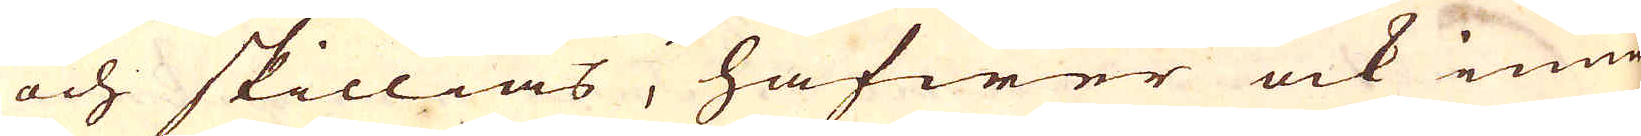och skillias, hafwer ock inne
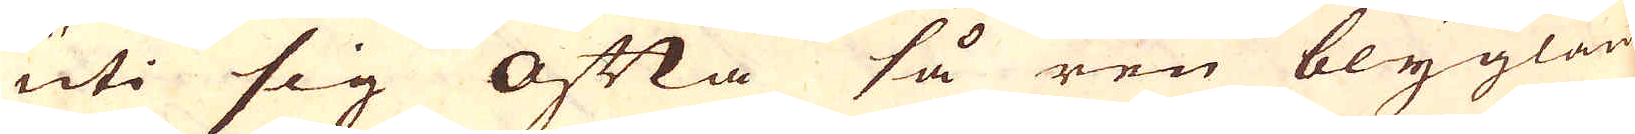uti sig ofta så ren blyglantz
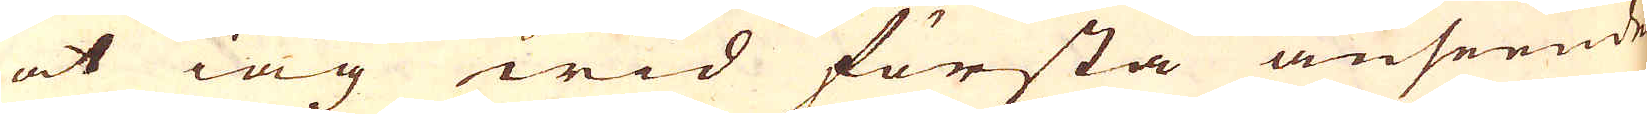at iag wid första anseende
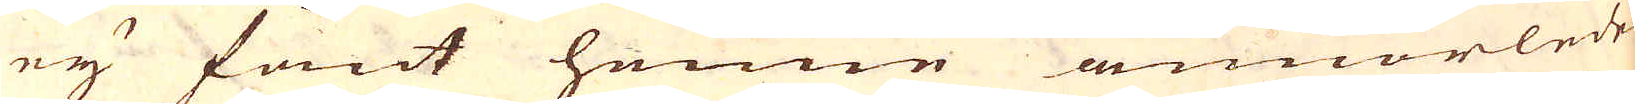ey fant henne annorledes
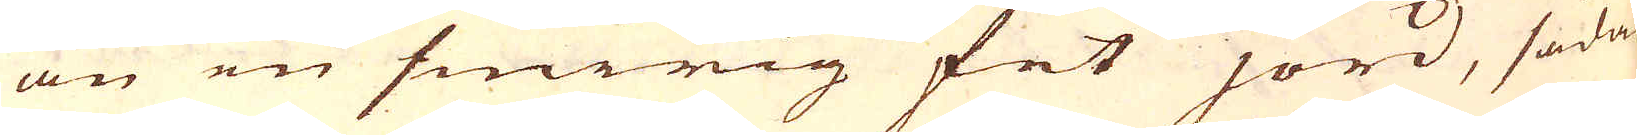än en smirig fet jord, sådan
